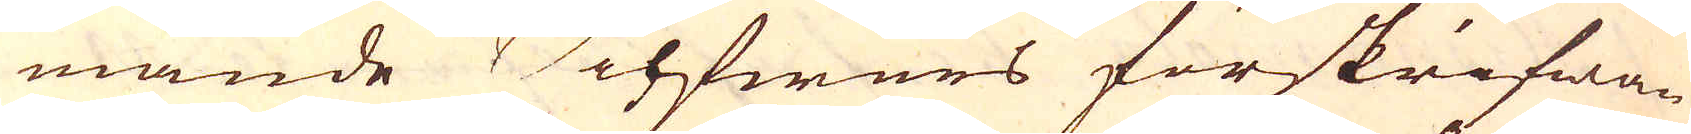mande Silfwers förskrifwan-
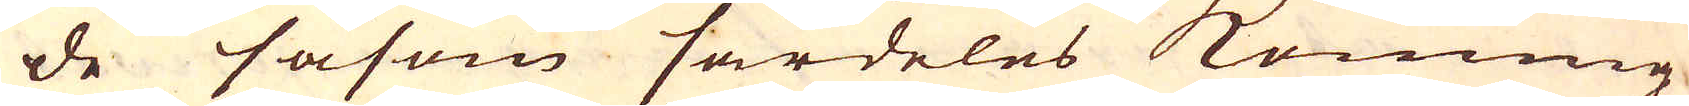de såsom särdeles Konung
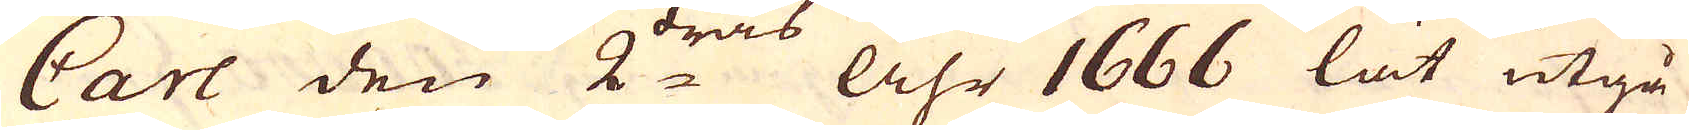Carl den 2:dras Åhr 1666 lät utgå
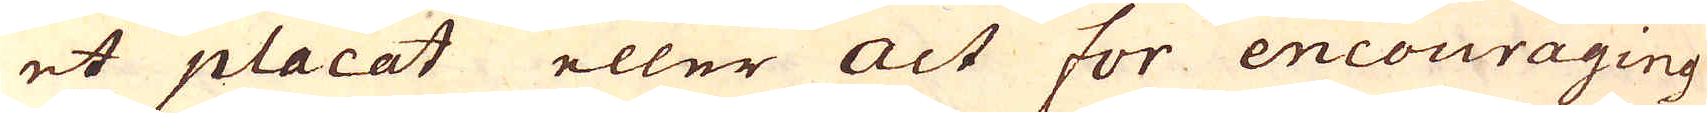et placat eller Act for encouraging
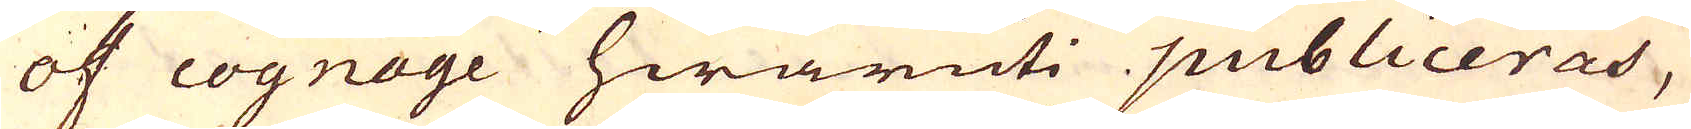of cognage hwaruti publiceras,
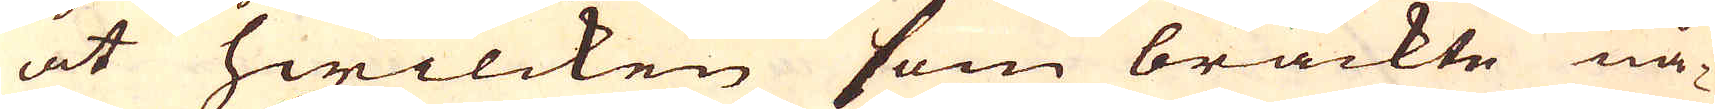at hwilcken som brackte nå-
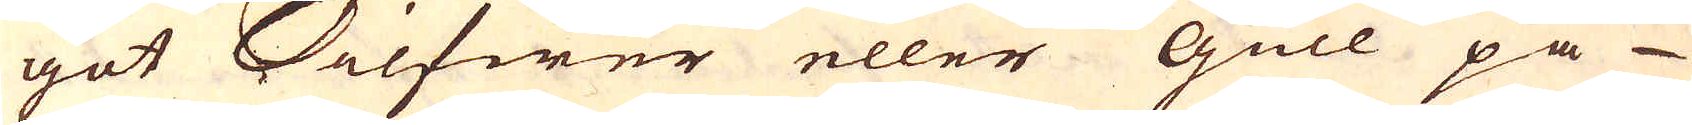got Silfwer eller Gull på
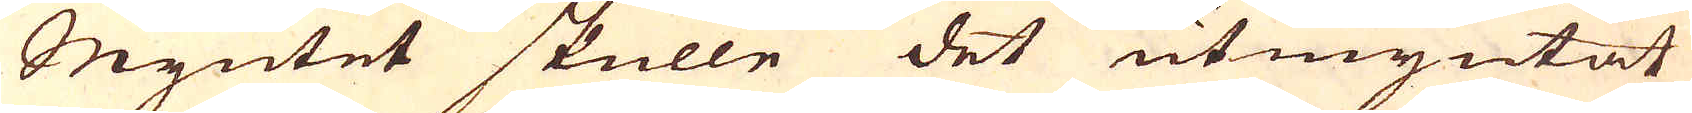Myntet skulle det utmyntat
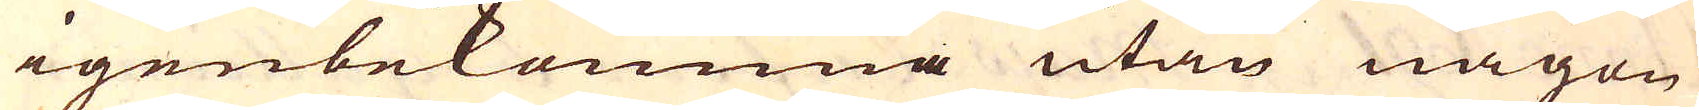igenbekomma utan någon
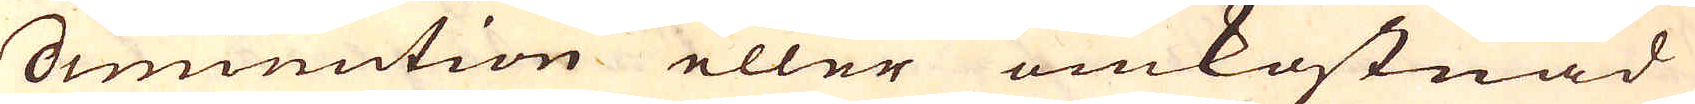diminution eller omkostnad
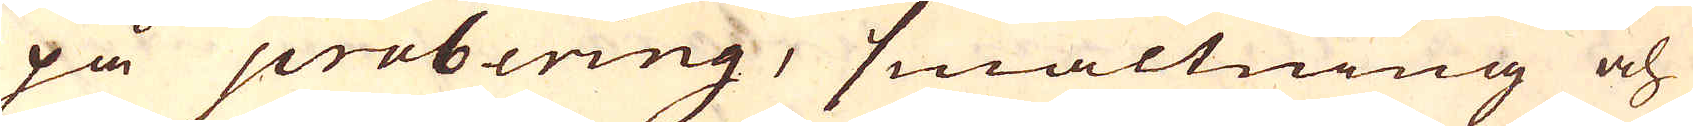på probering, smältning och
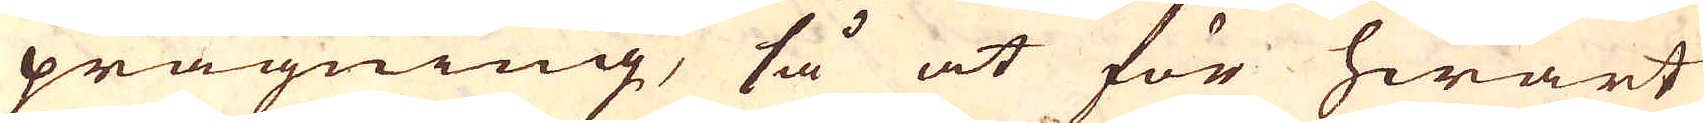prägning, så at för hwart
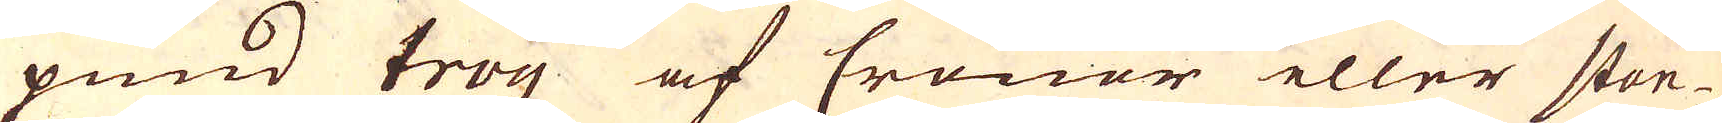pund troy af Cronor eller stan-
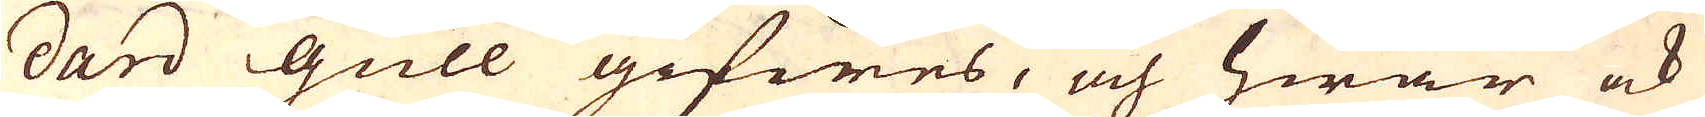dard Gull gifwes, och hwar ock
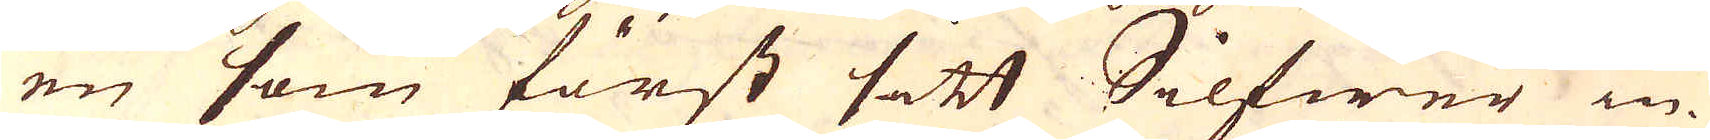en som först sitt Silfwer in-
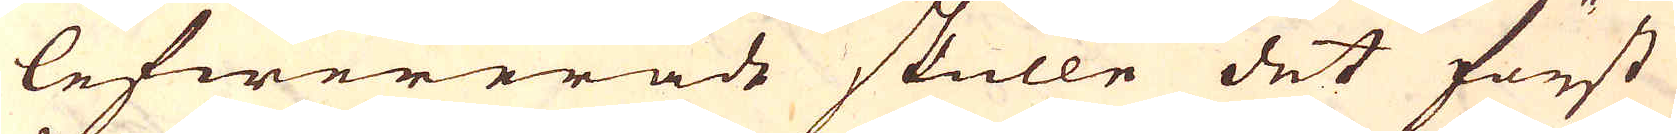lefwererade skulle det först
